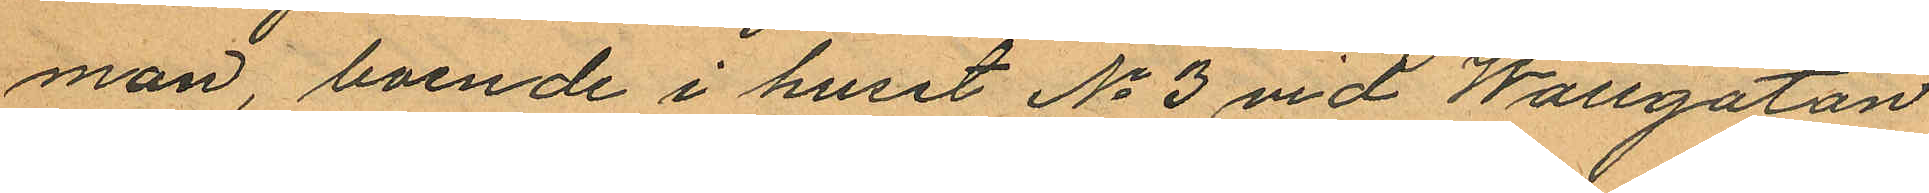man, boende i huset No 3 vid Wallgatan
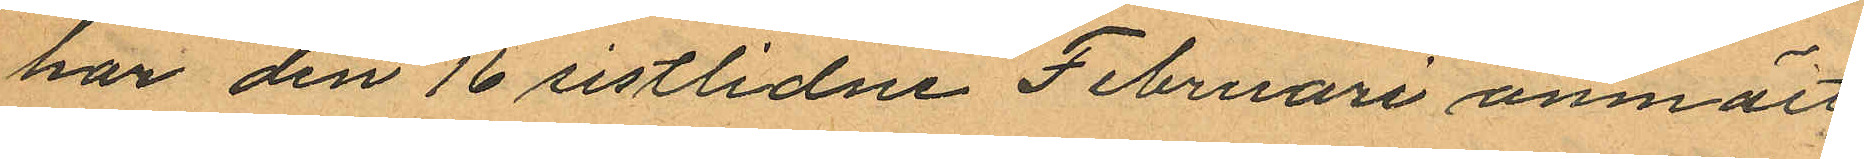har den 16 sistlidne Februari anmält
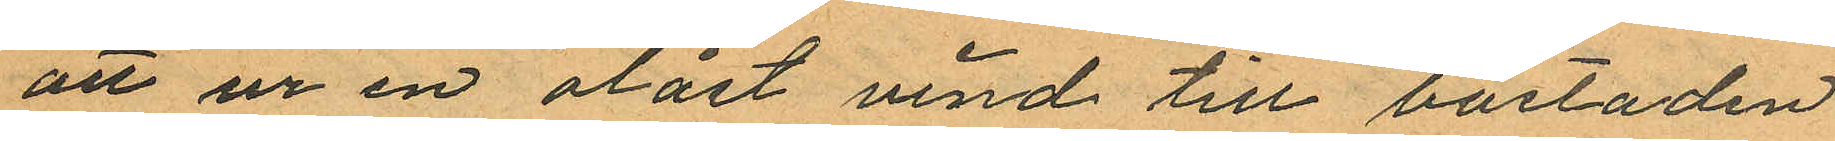att ur en olåst vind till bostaden
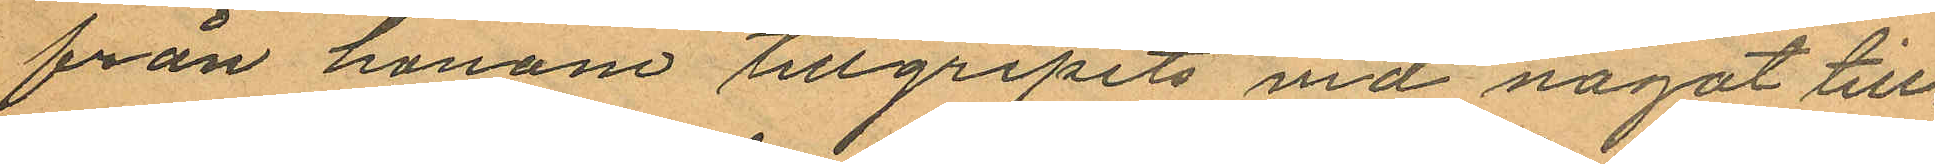från honom tillgripits vid något till
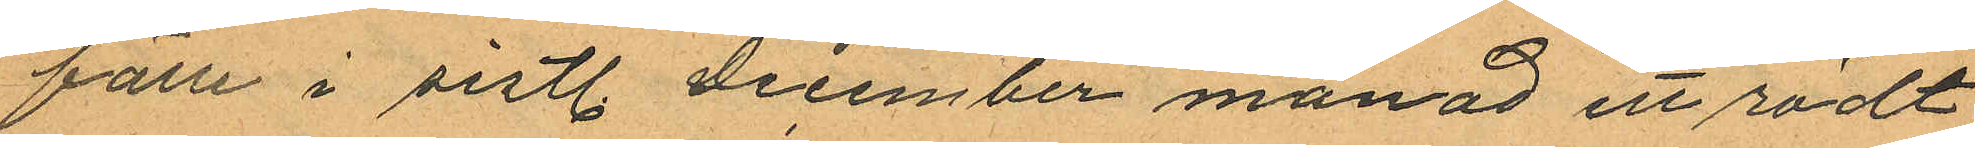fälle i sistl. December månad ett rödt
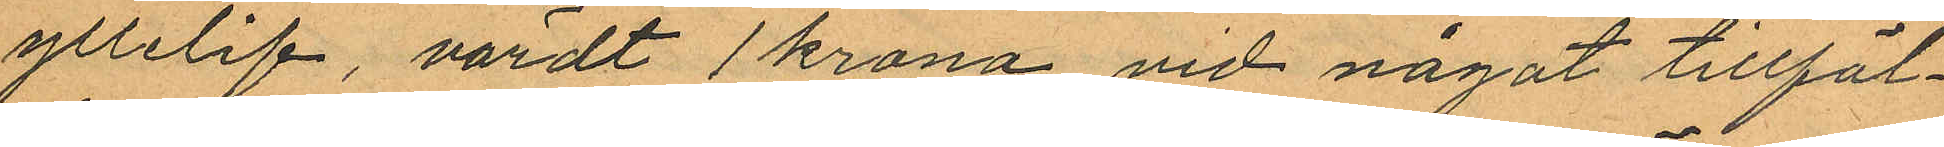yllelif, värdt 1 krona vid något tillfäl¬
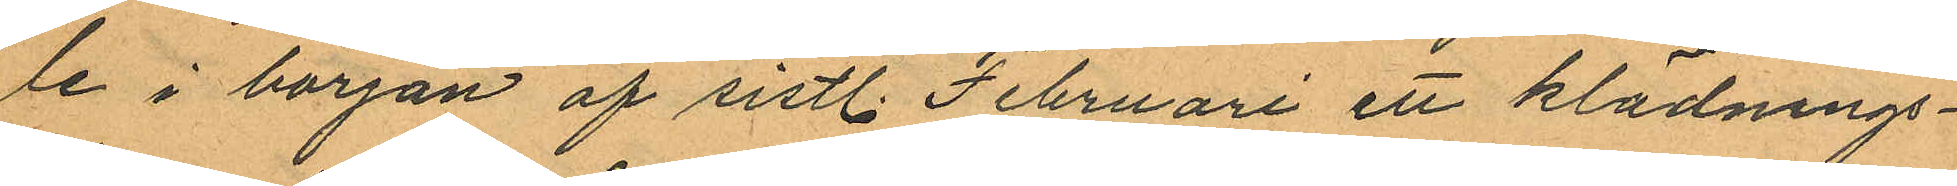le i början af sistl. Februari ett klädnings¬
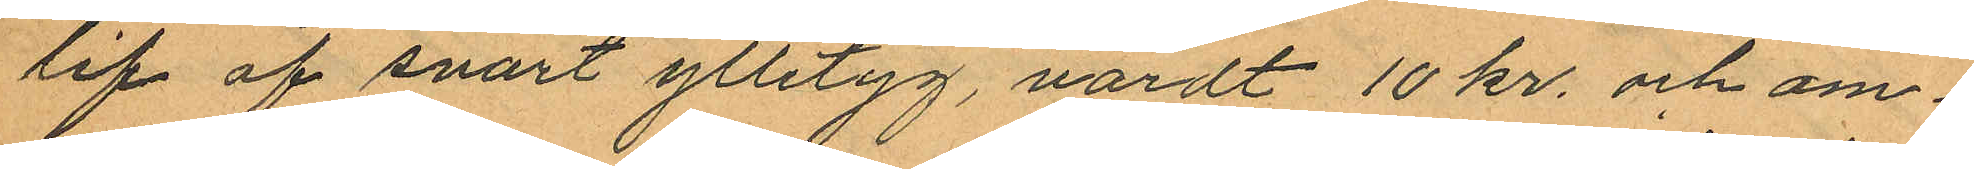lif af svart ylletyg, värdt 10 kr. och om¬
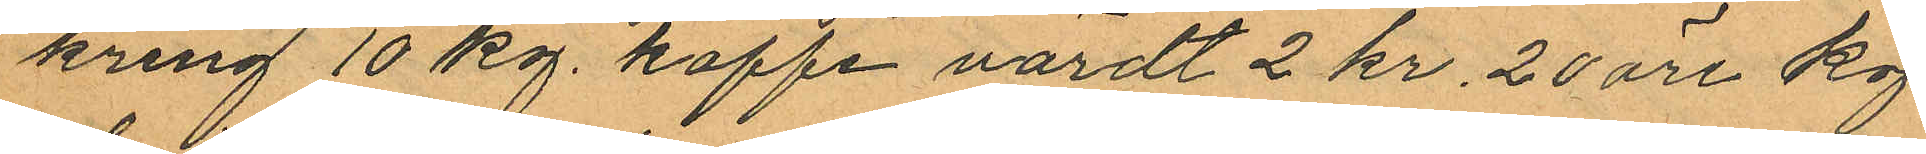kring 10 kg. kaffe värdt 2 kr. 20 öre kg.
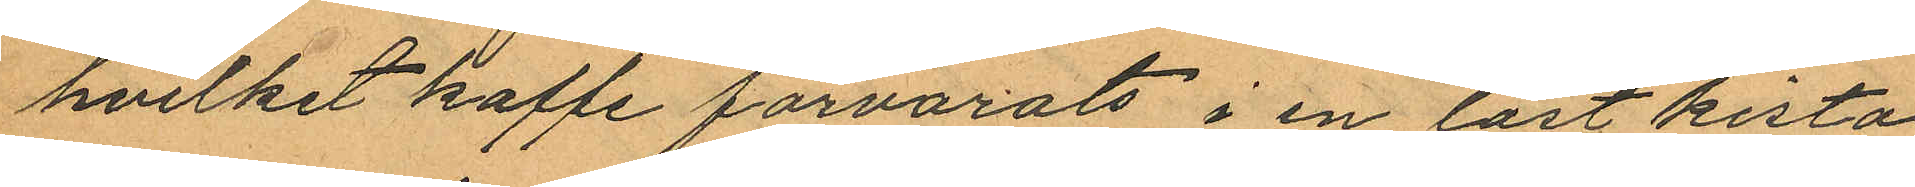hvilket kaffe förvarats i en låst kista
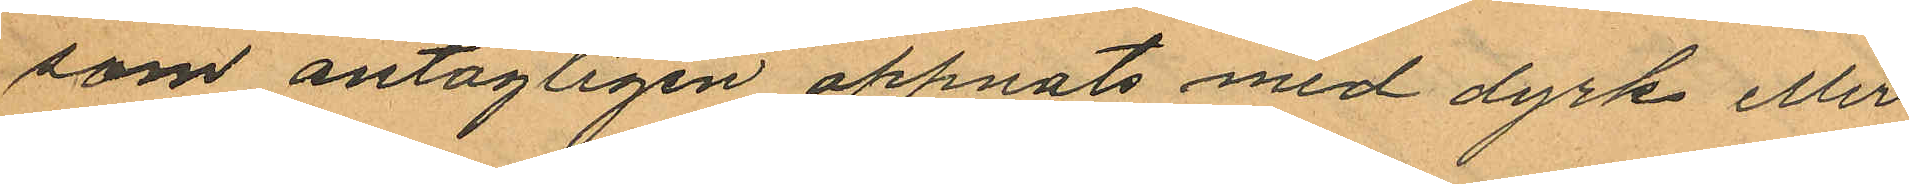som antagligen öppnats med dyrk eller
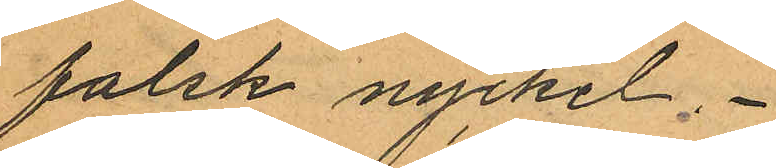falsk nyckel.
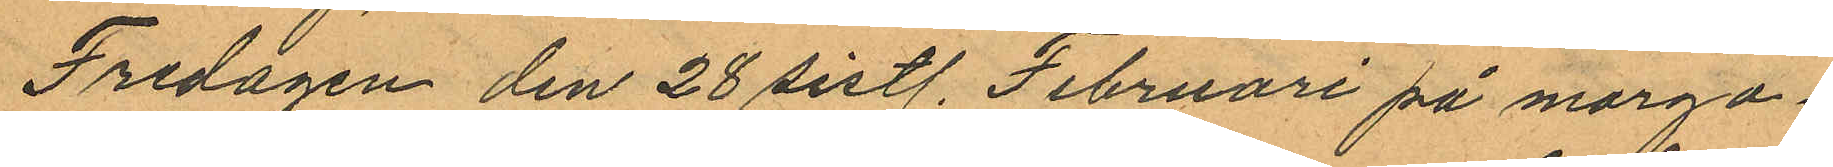Fredagen den 28 sistl. Februari på morgo¬
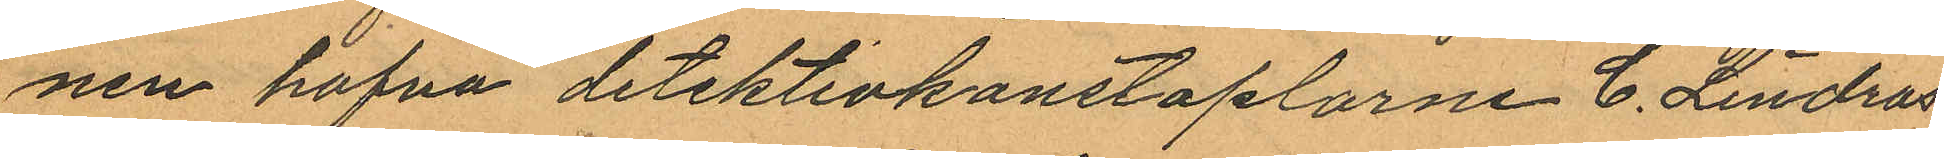nen hafva detektivkonstaplarne C. Lindros
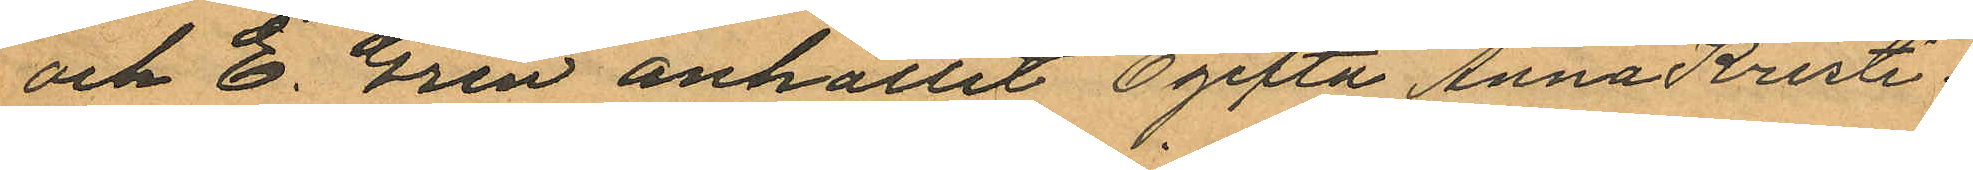och E. Gren anhållit Ogifta Anna Kristi¬
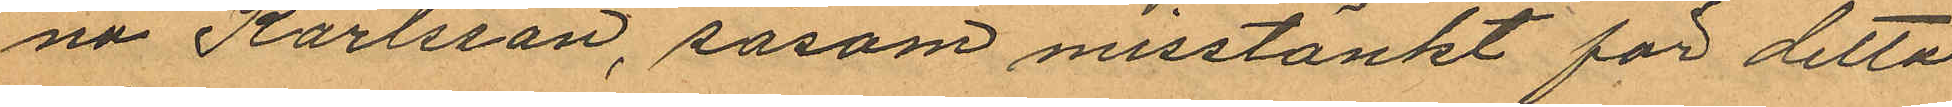na Karlsson, såsom misstänkt för detta
